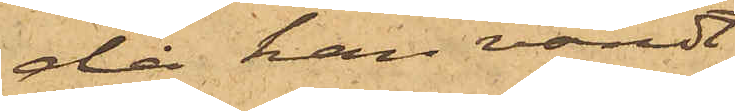då han vändt
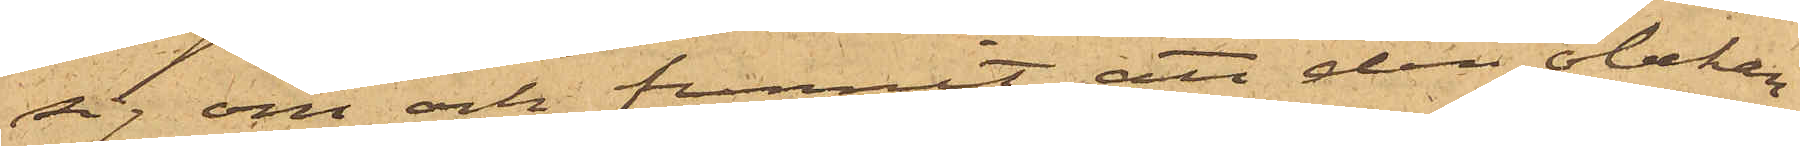sig om och funnit att den obekan¬
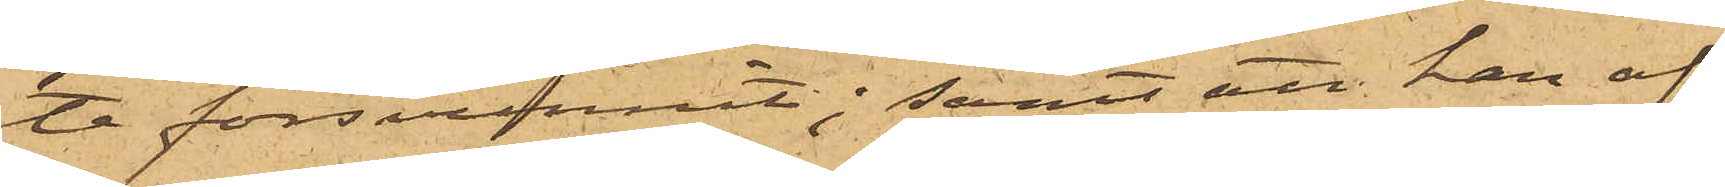te försvunnit; samt att han af
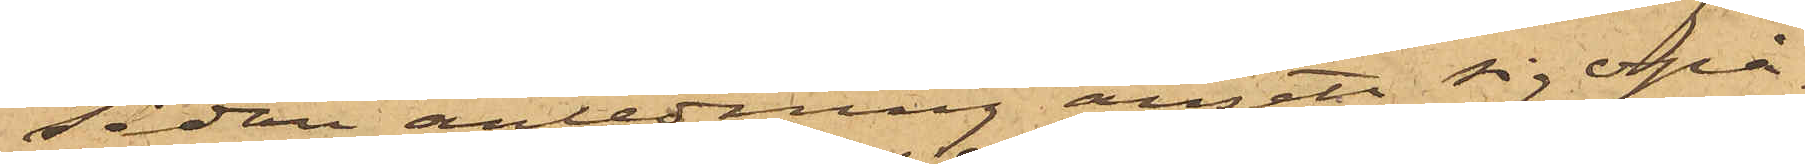sådan anledning ansett sig opå¬
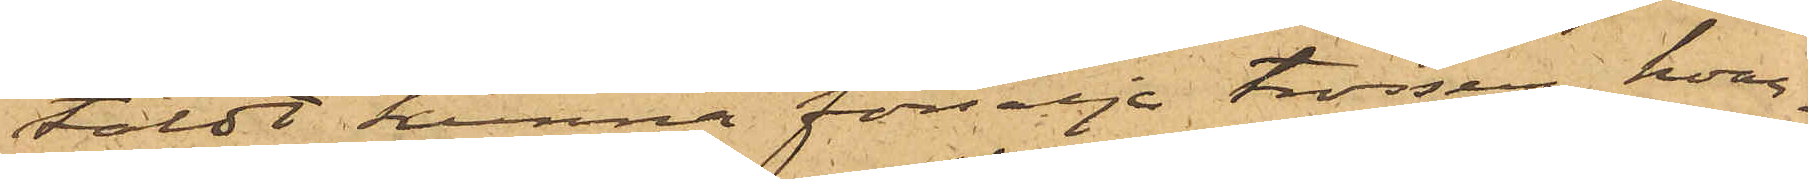taldt kunna försälja trossen, hvar¬
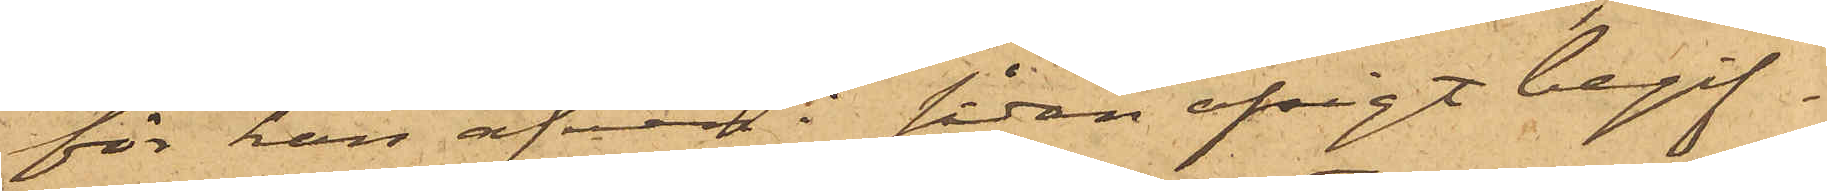för han äfven i sådan afsigt begif¬
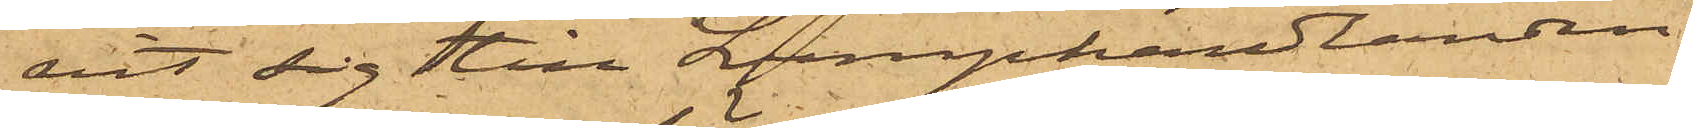vit sig till Lumphandlanden
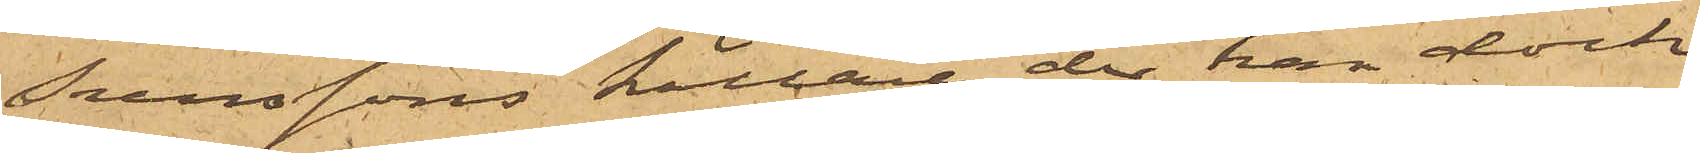Svenssons källare, der han dock
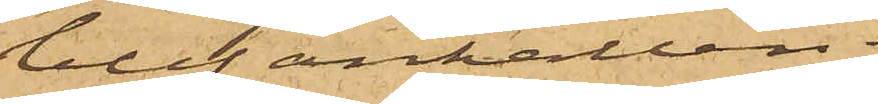blef anhållen.
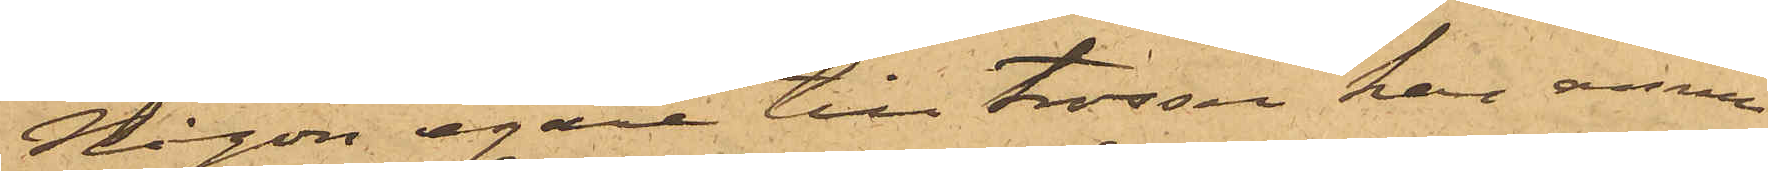Någon egare till trossen har ännu
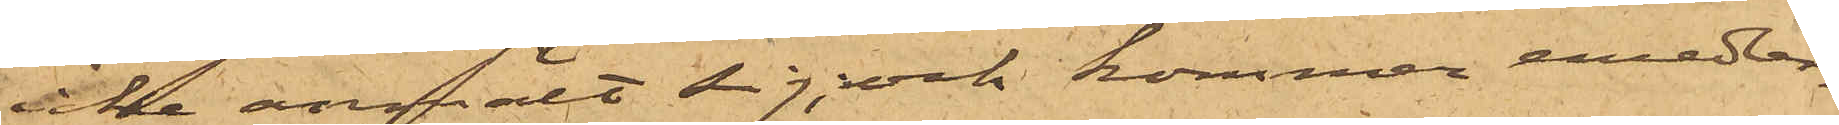icke anmält sig; och kommer emedler¬
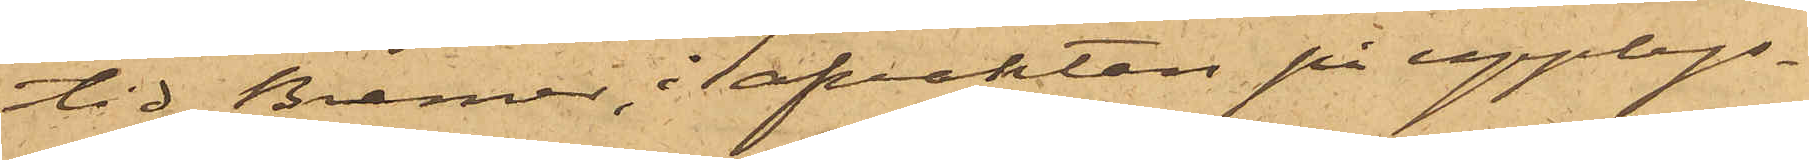tid Bremer i afvaktan på upplys¬
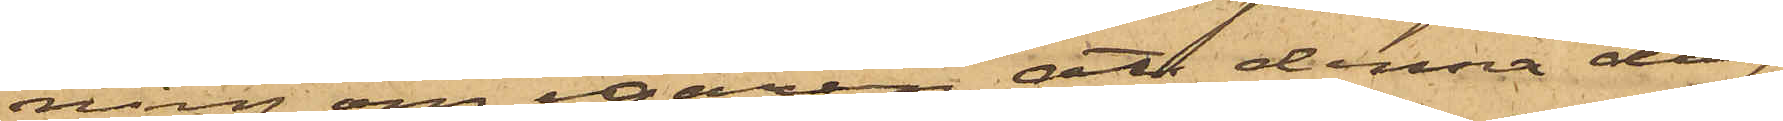ning om egaren, att denna dag
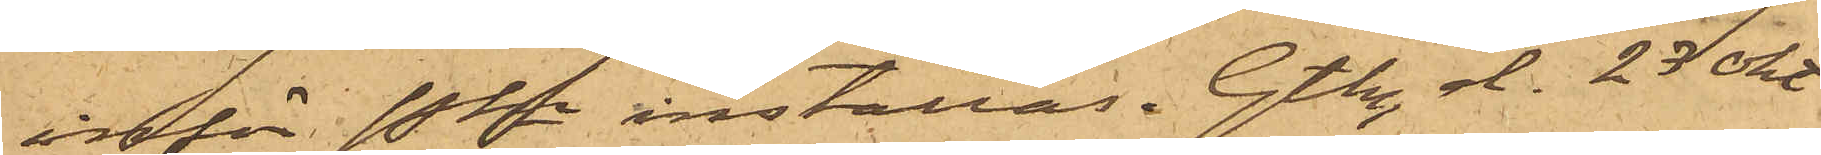inför Pkn inställas. Gtbg d. 23 okt
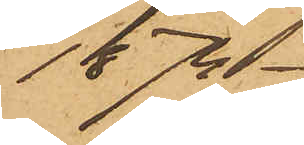1874.
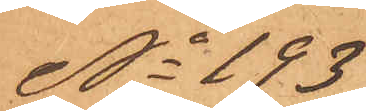No 193
